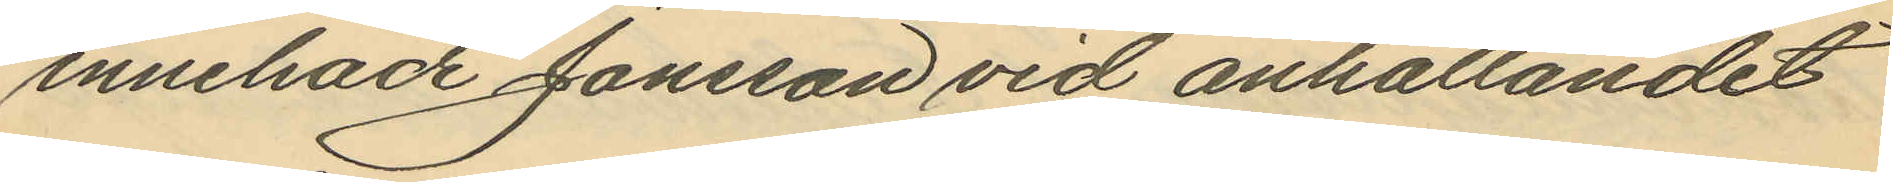innehade Jonsson vid anhållandet
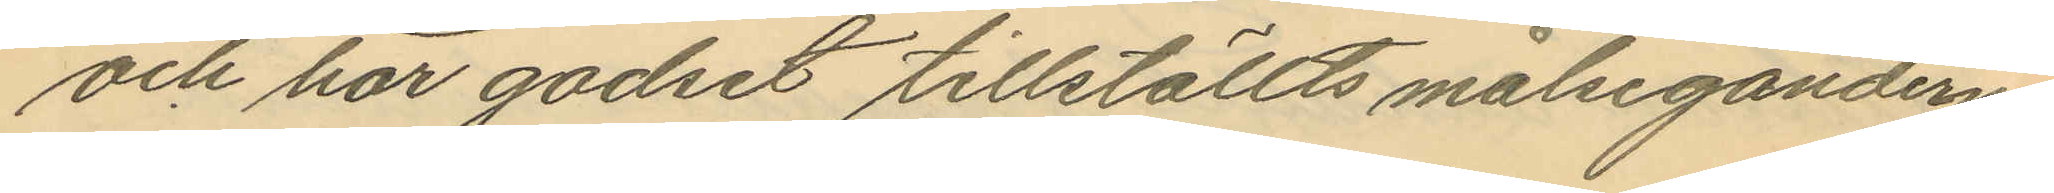och har godset tillställts målseganderna
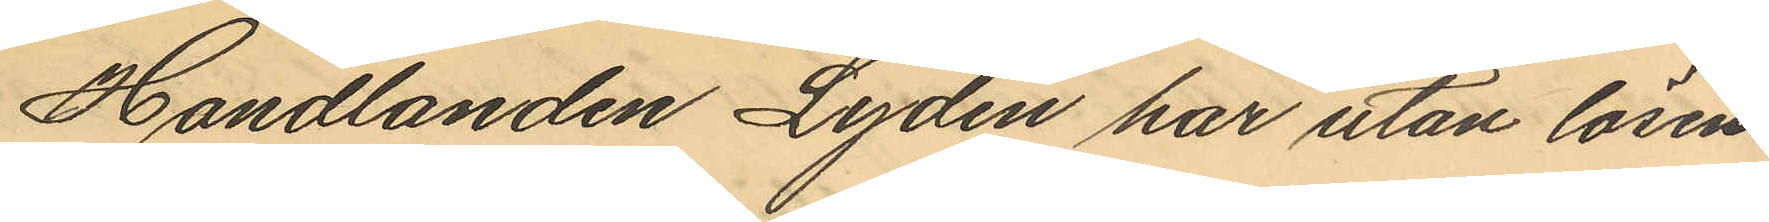Handlanden Lydén har utan lösen
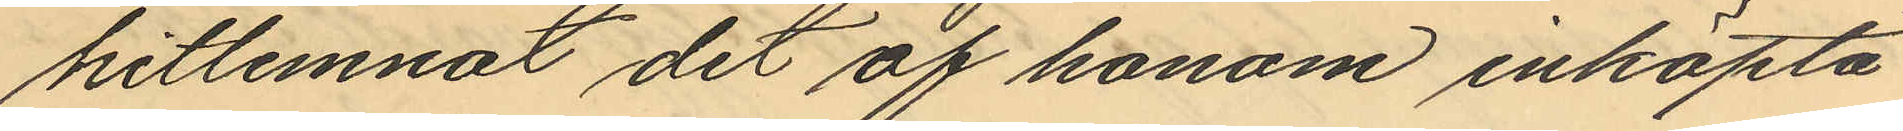hitlemnat det af honom inköpta
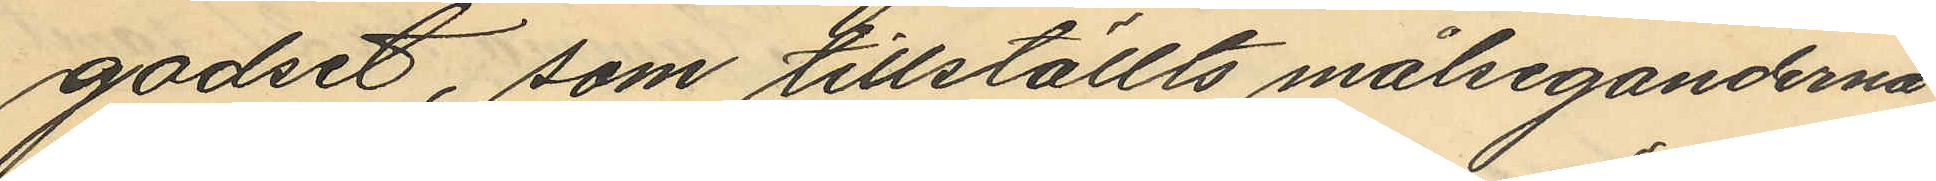godset, som tillställts målseganderna
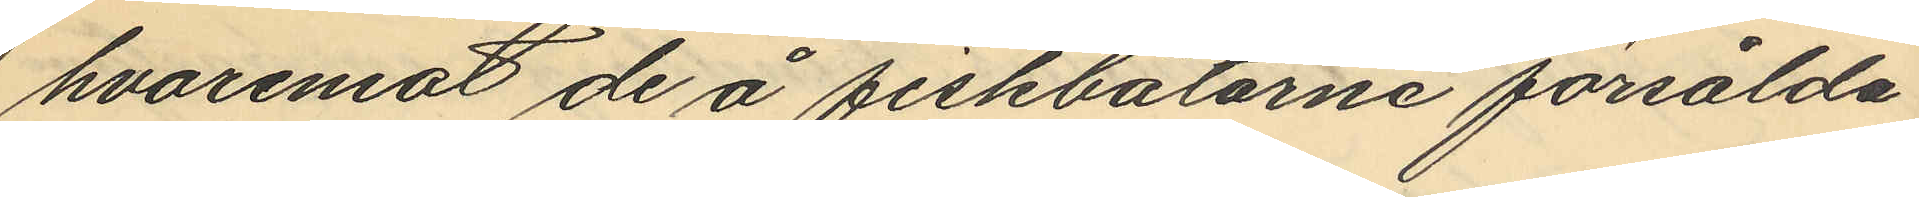hvaremot de å fiskbåtarne försålda
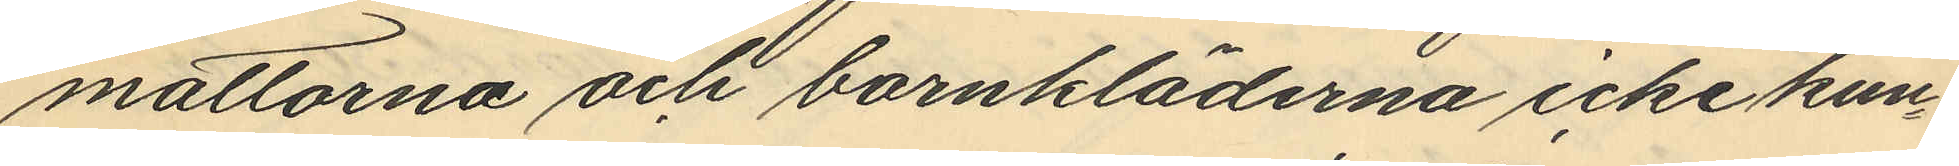mattorna och barnkläderna icke kun¬
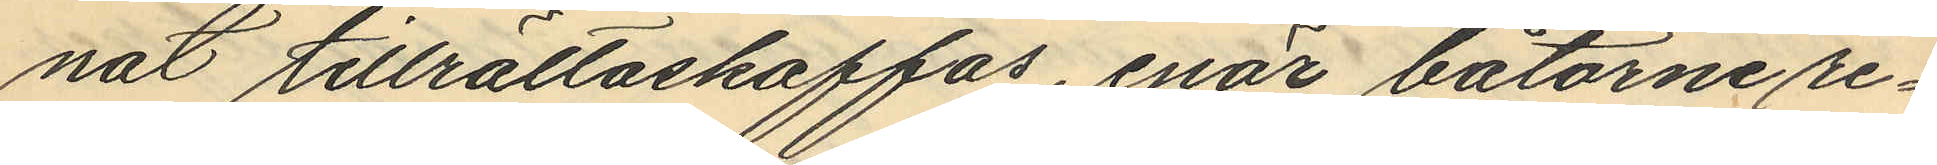nat tillrättaskaffas, enär båtarne re¬
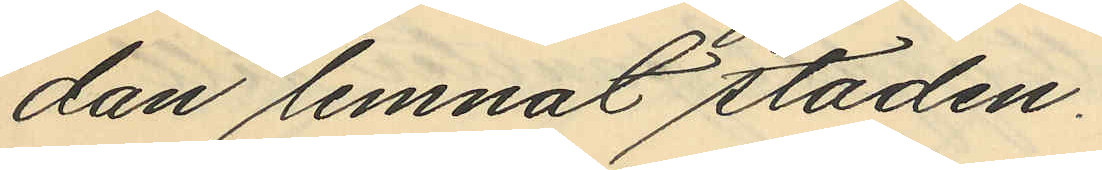dan lemnat staden.
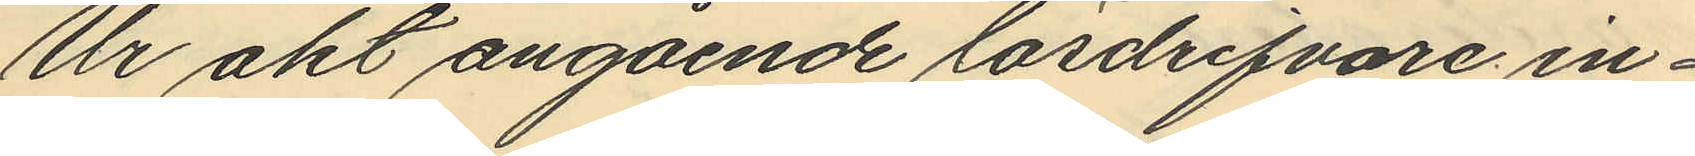Ur akt angående lösdrifvare in¬
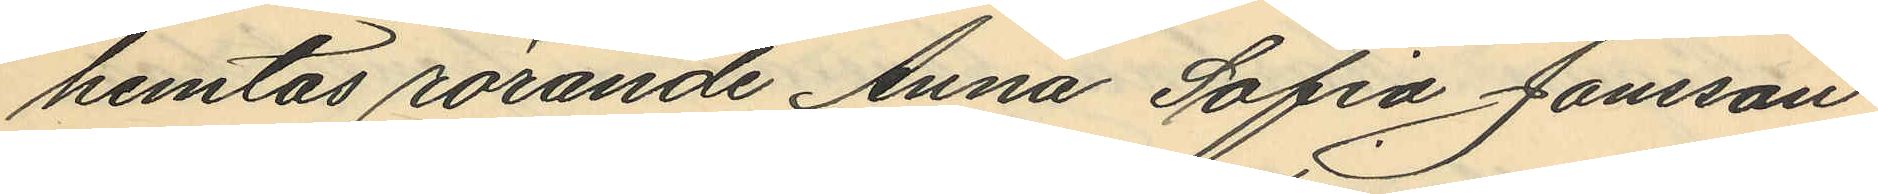hemtas rörande Anna Sofia Jonsson
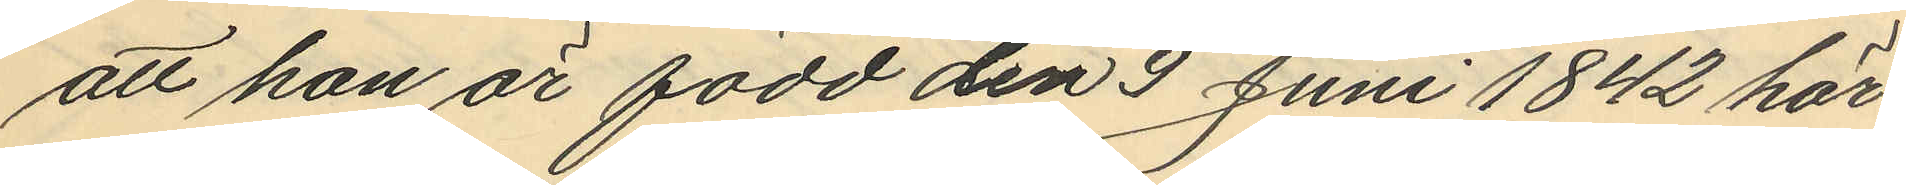att hon är född den 9 Juni 1842 här
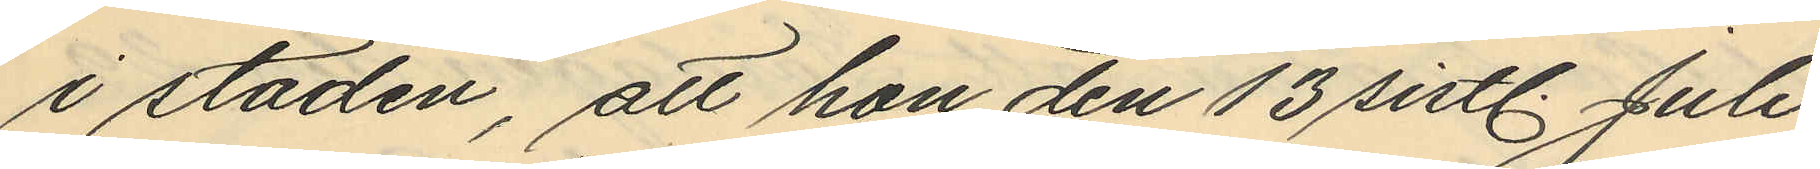i staden, att hon den 13 sistl. Juli
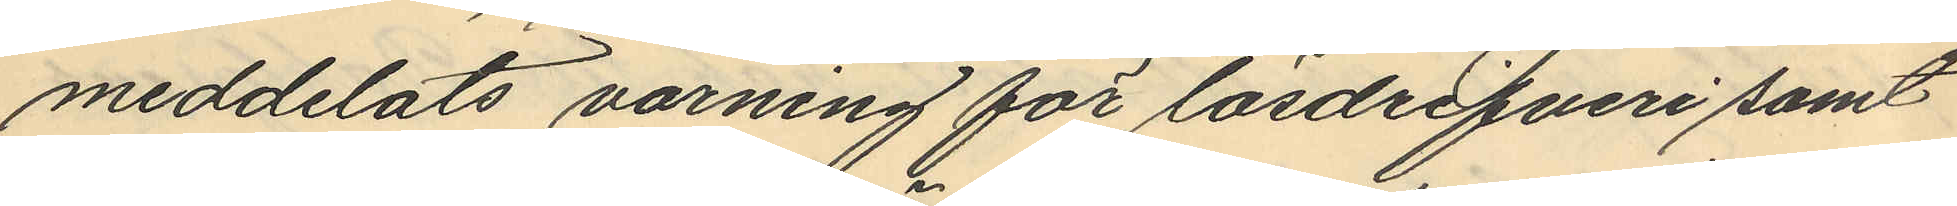meddelats varning för lösdrifveri samt
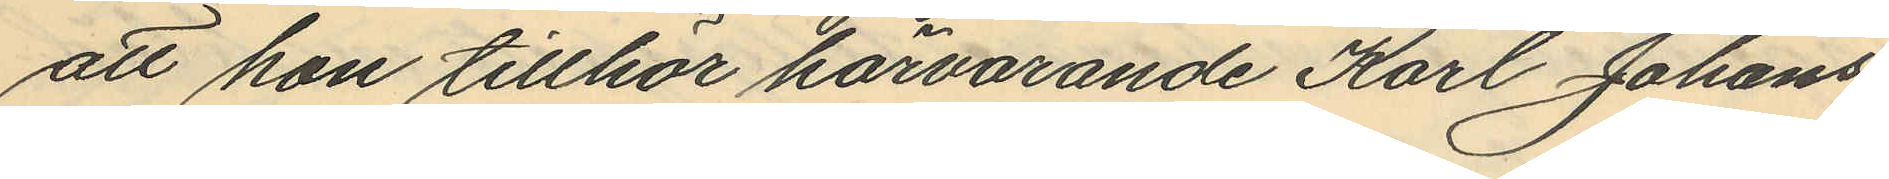att hon tillhör härvarande Karl Johans
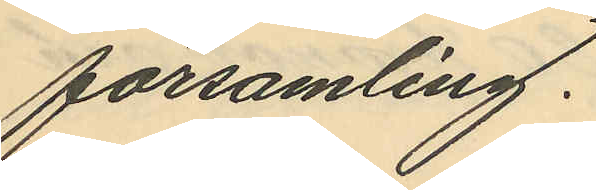församling.
